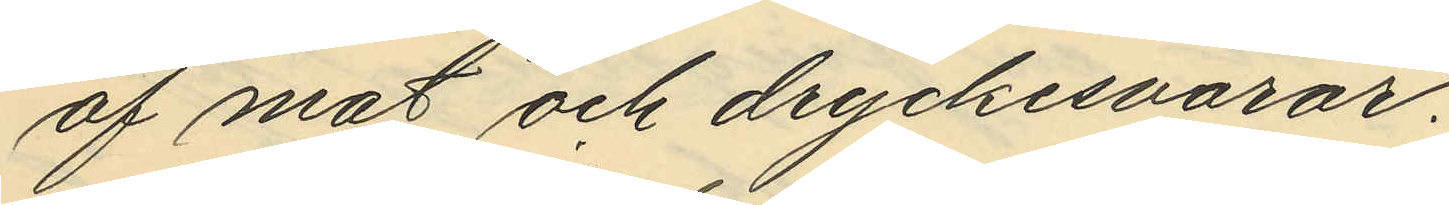af mat och dryckesvaror.
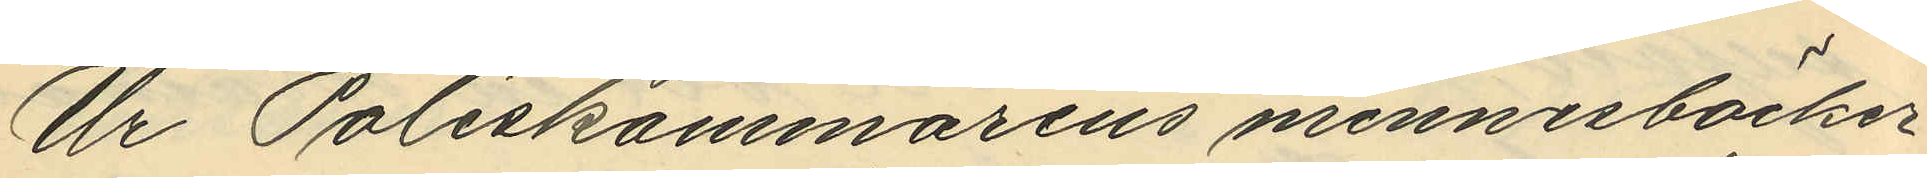Ur Poliskammarens minnesböcker
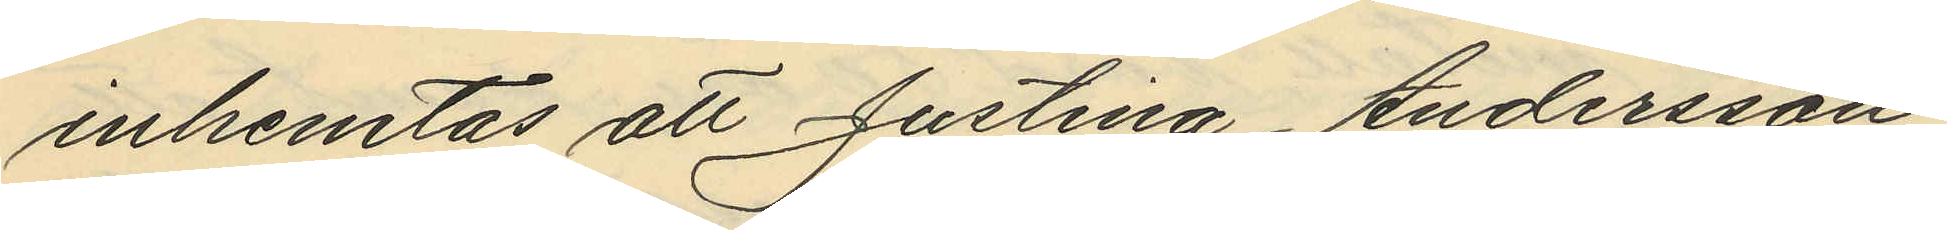inhemtas att Justina Andersson
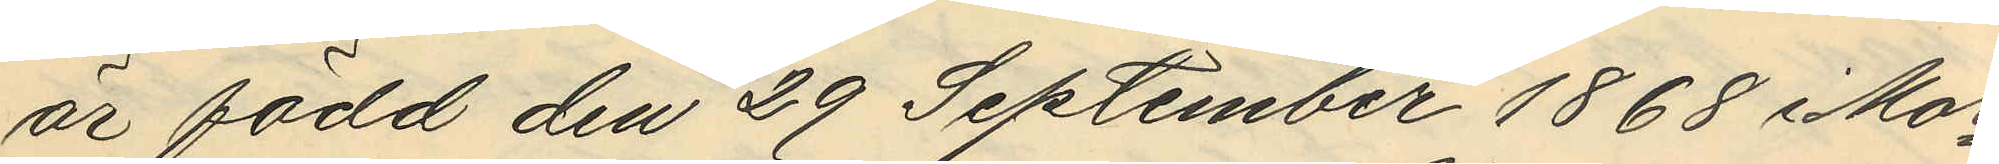är född den 29 September 1868 i Mor¬
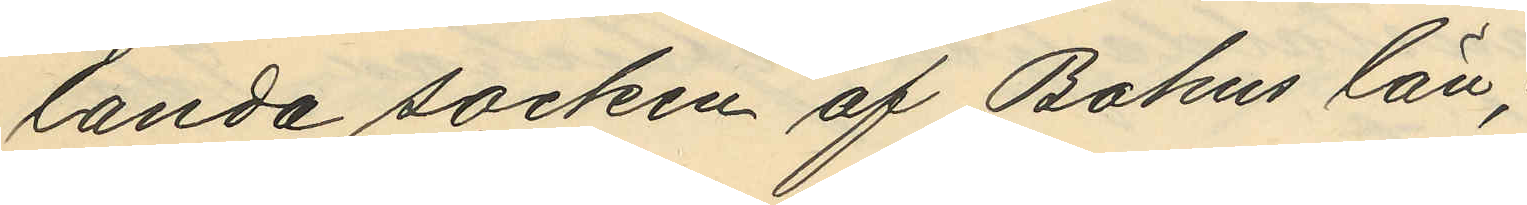landa socken af Bohus län,
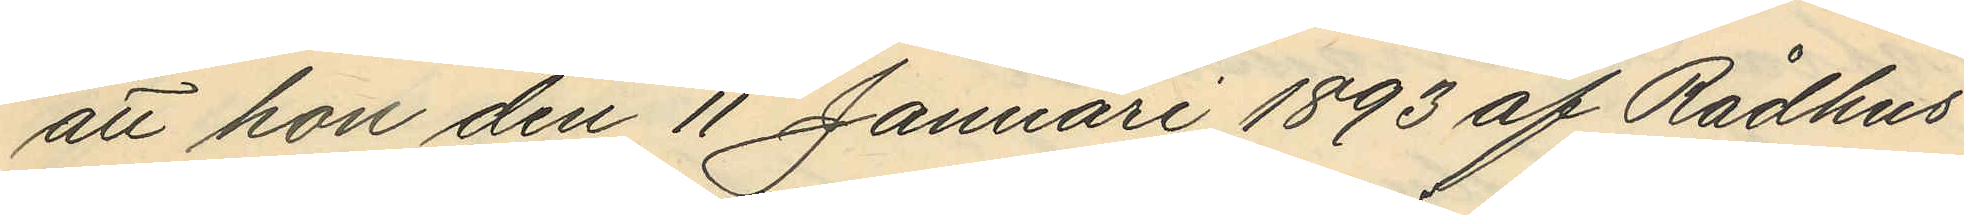att hon den 11 Januari 1893 af Rådhus
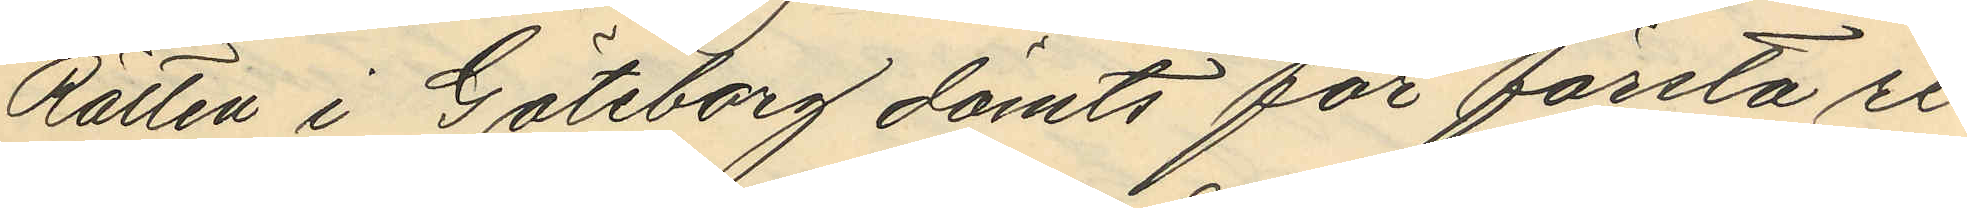Rätten i Göteborg dömts för första re¬
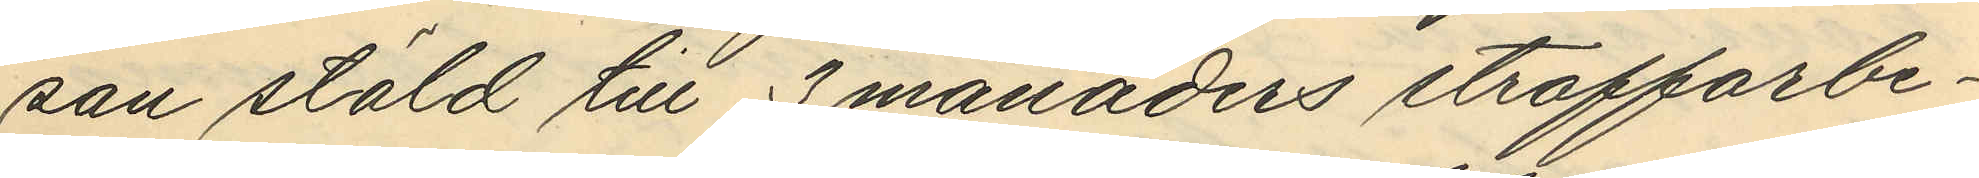san stöld till 3 månaders straffarbe¬
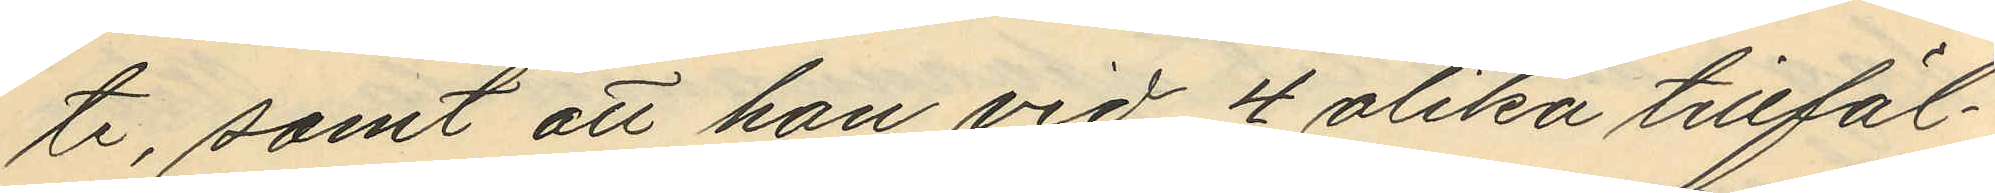te, samt att hon vid 4 olika tillfäl¬
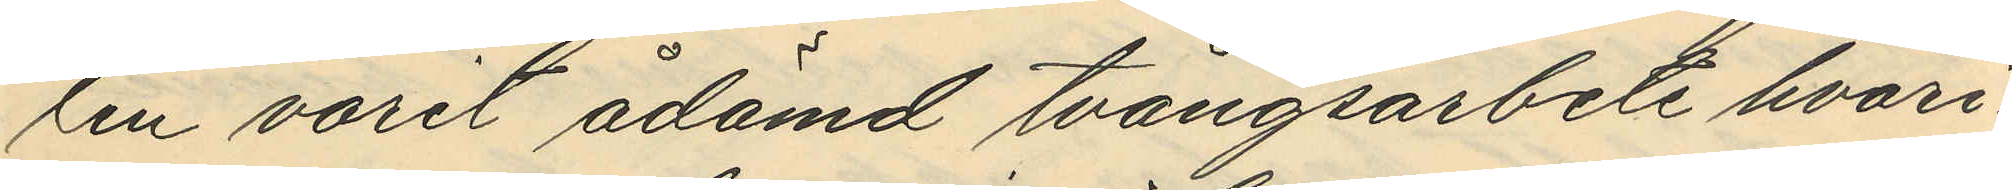len varit ådömd tvångsarbete hvari¬
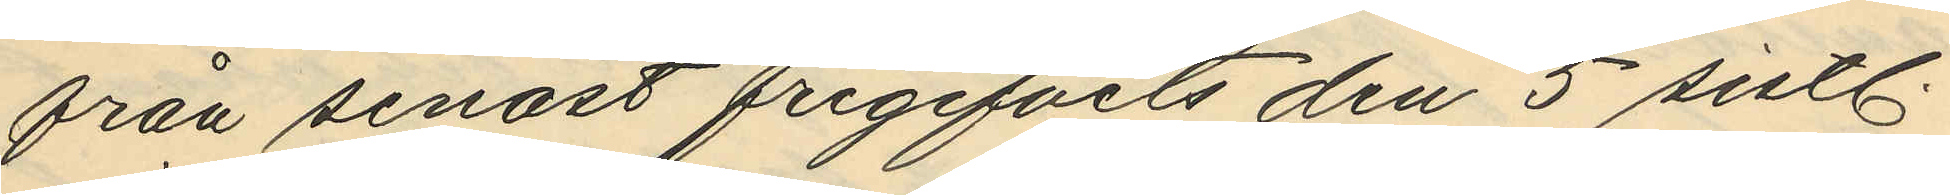från senast frigifvits den 5 sistl.
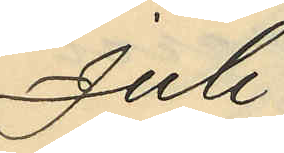Juli.
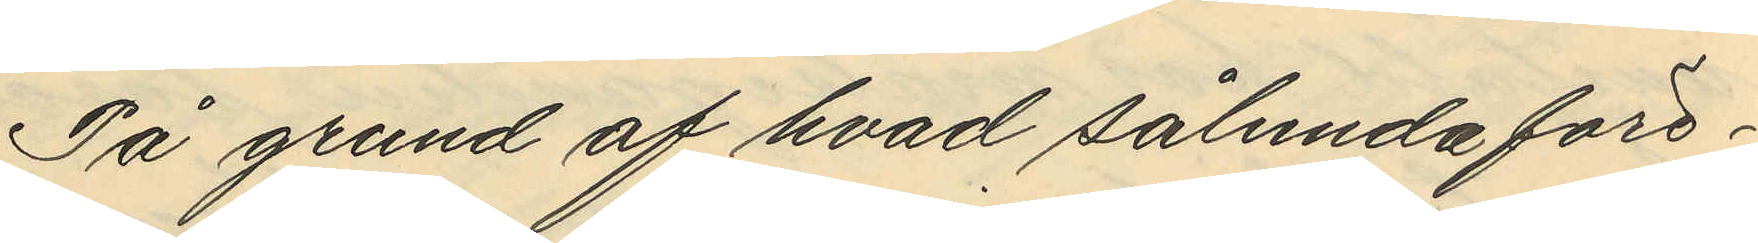På grund af hvad sålunda före¬
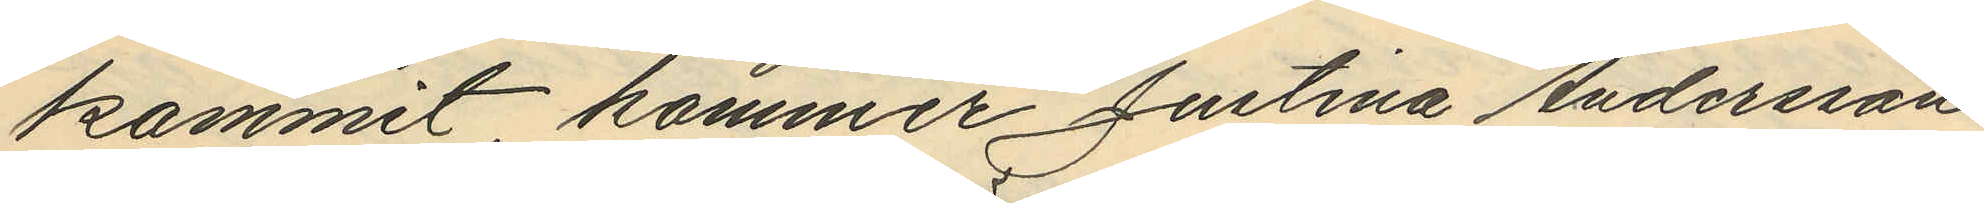kommit kommer Justina Andersson
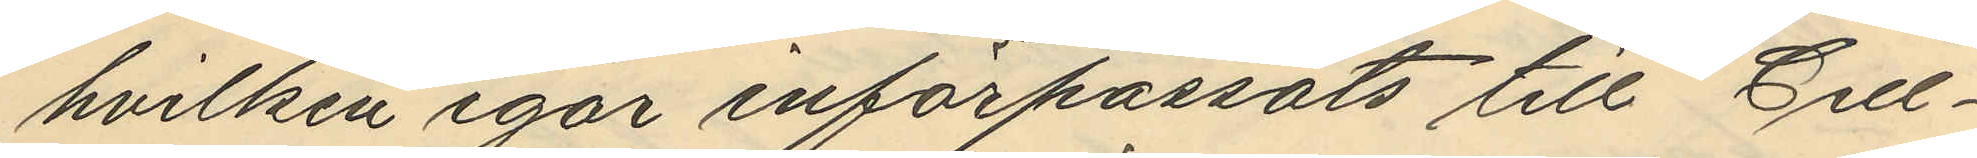hvilken igår införpassats till Cell¬
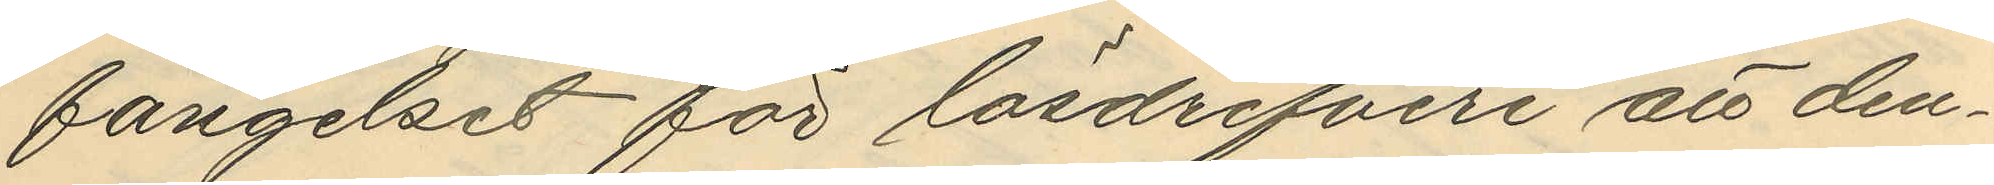fängelset för lösdrifveri att den¬
